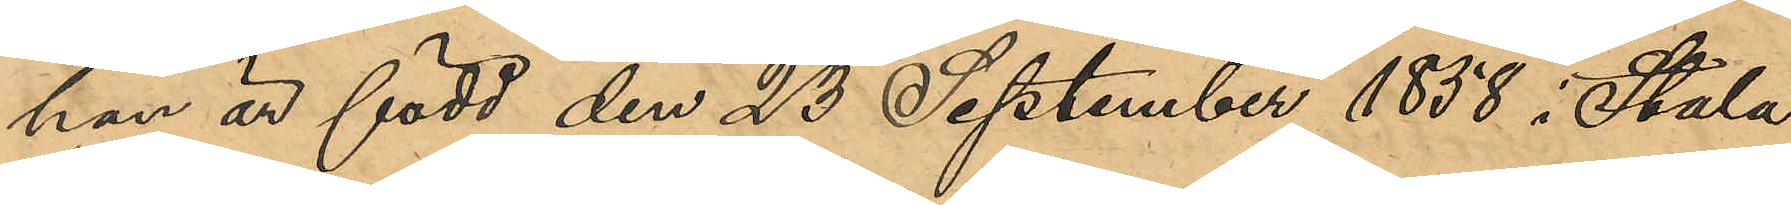han är född den 23 September 1838 i Stala
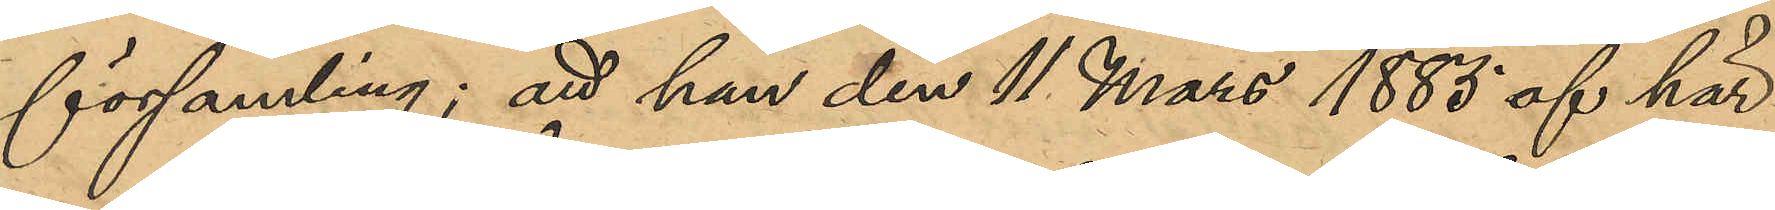församling; att han den 11 Mars 1885 af här¬
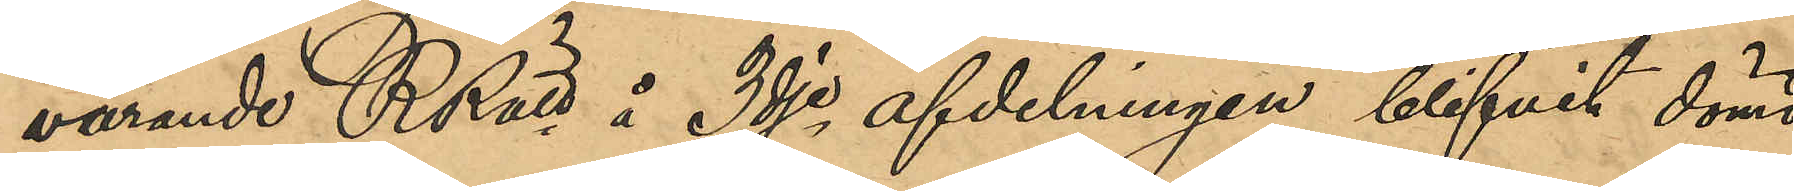varande RRätt å 3dje afdelningen blifvit dömd
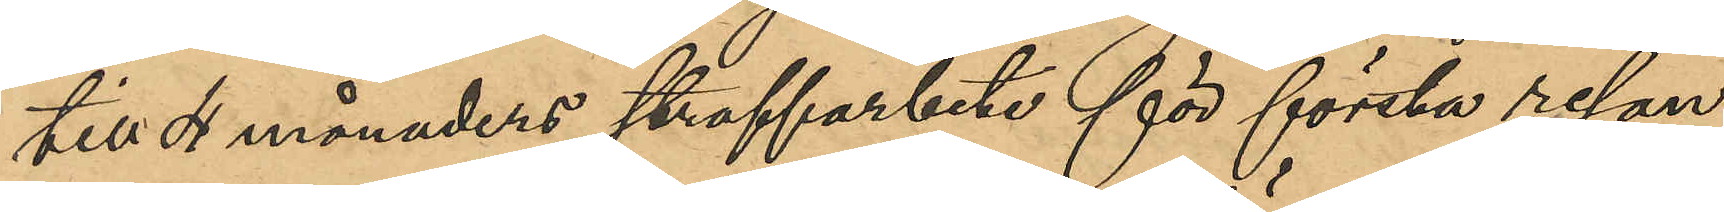till 4 månaders straffarbete för första resan
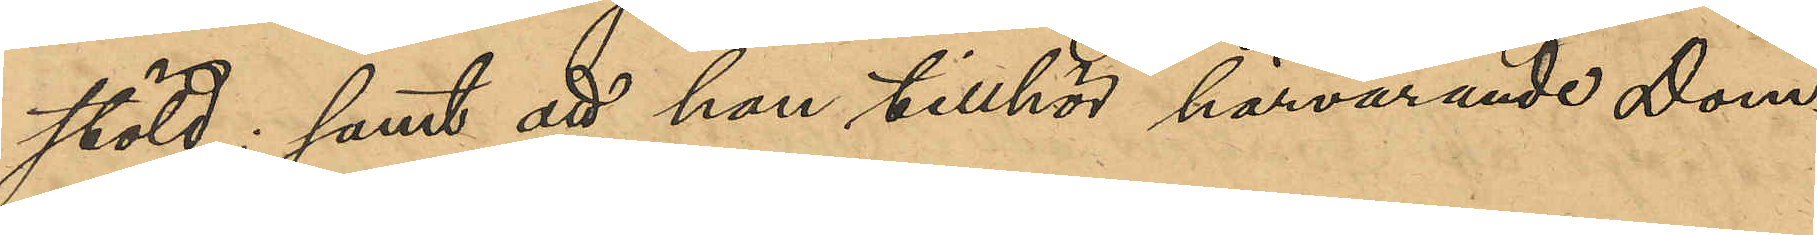stöld; samt att han tillhör härvarande Dom¬
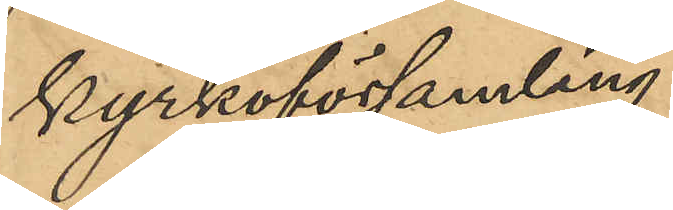kyrkoförsamling.
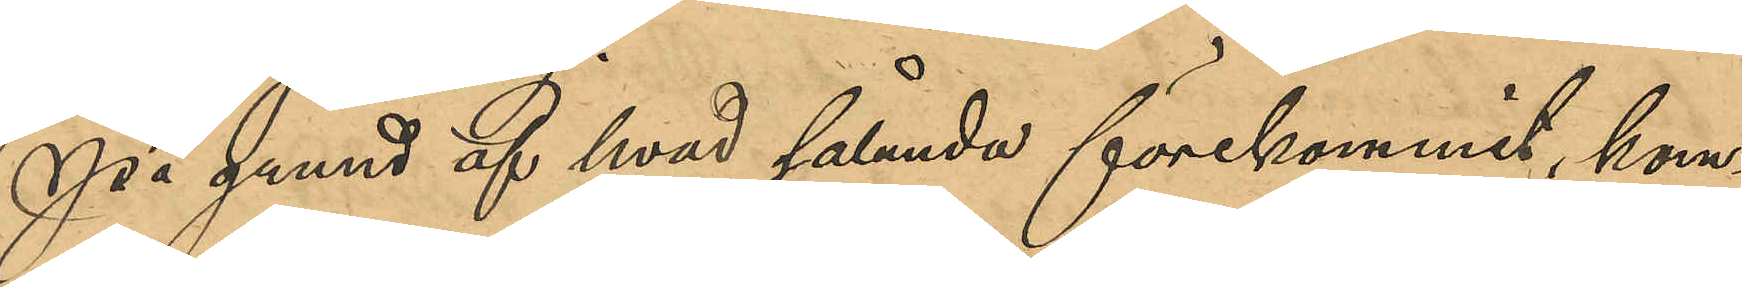På grund af hvad sålunda förekommit, kom¬
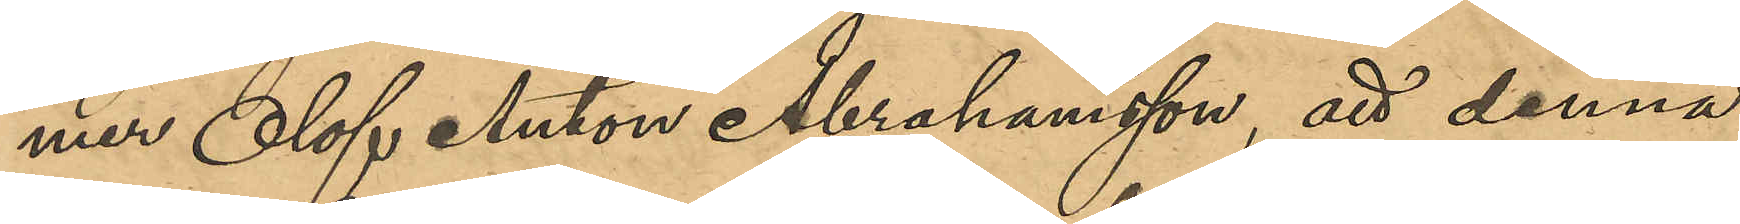mer Olof Anton Abrahamsson, att denna
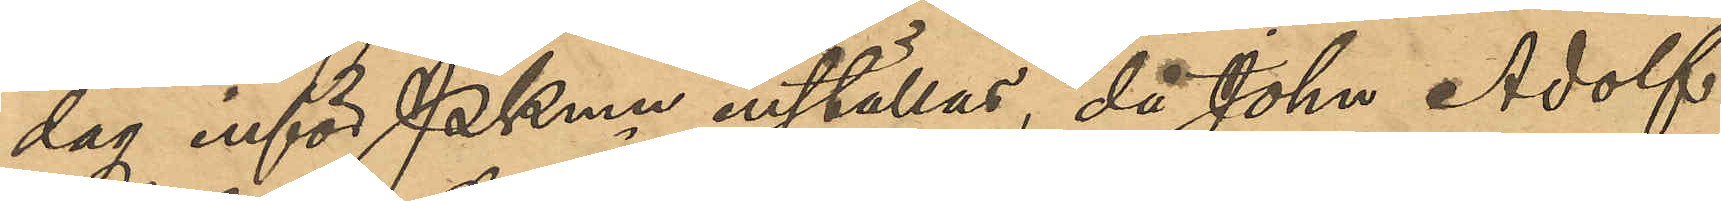dag inför Pkmn inställas, då John Adolf
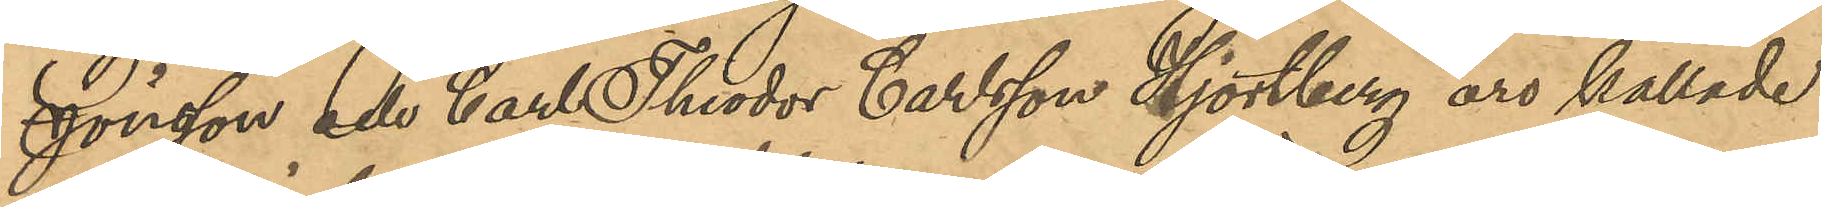Jönsson och Carl Theodor Hjortberg äro kallade
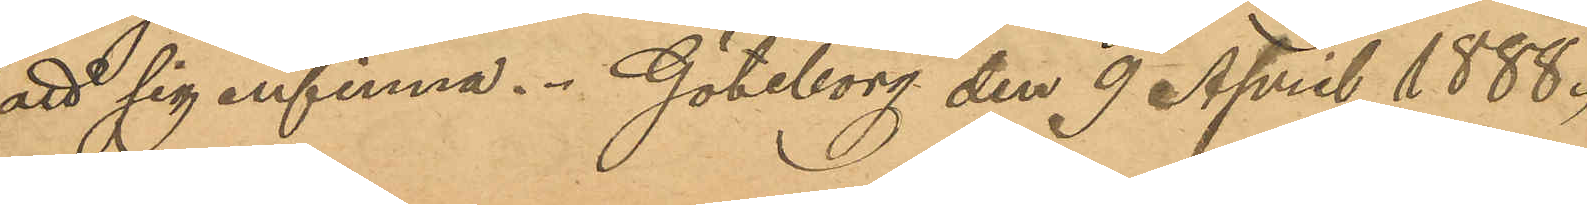att sig infinna. Göteborg den 9 April 1888.
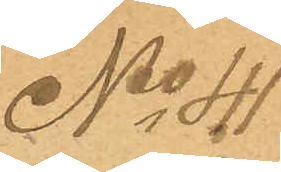No 40
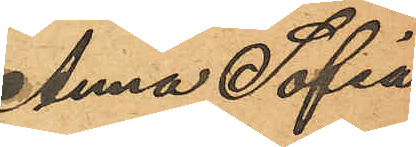Anna Sofia
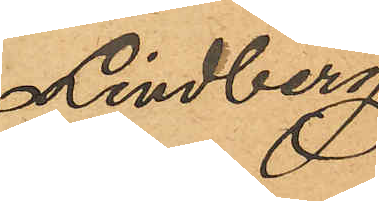Lindberg
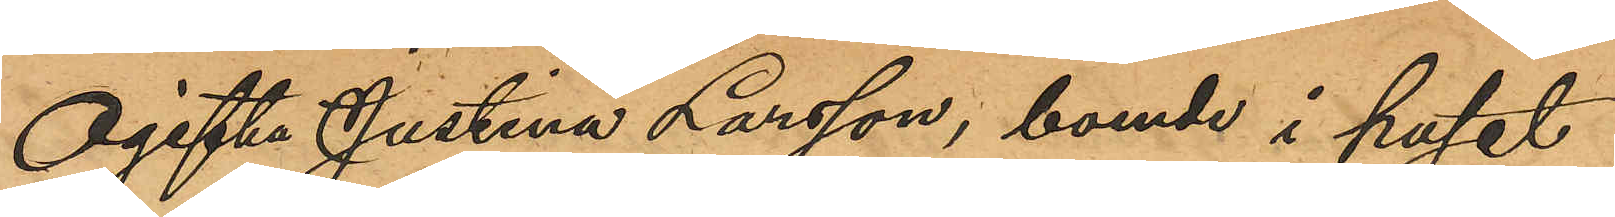Ogifta Justina Larsson, boende i huset
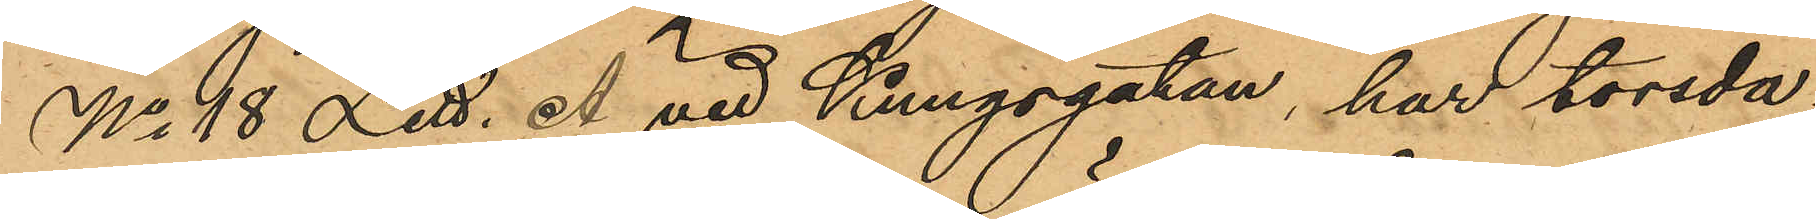No 18 Litt. A vid Kungsgatan, har torsda¬
